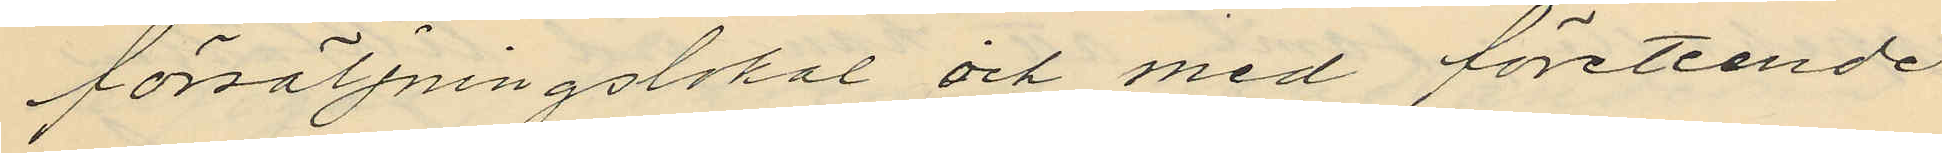försäljningslokal och med företeende
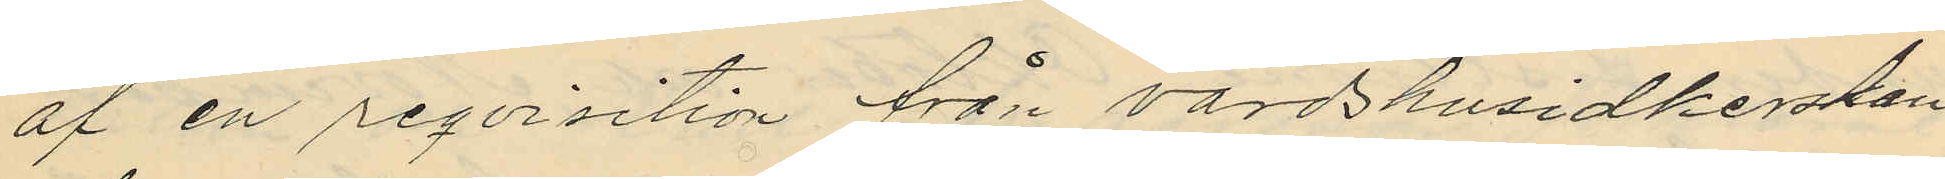af en reqvisition från värdshusidkerskan
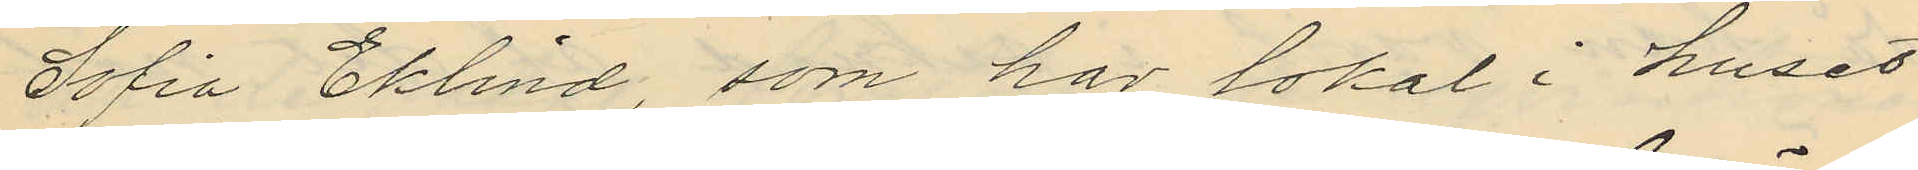Sofia Eklind, som har lokal i huset
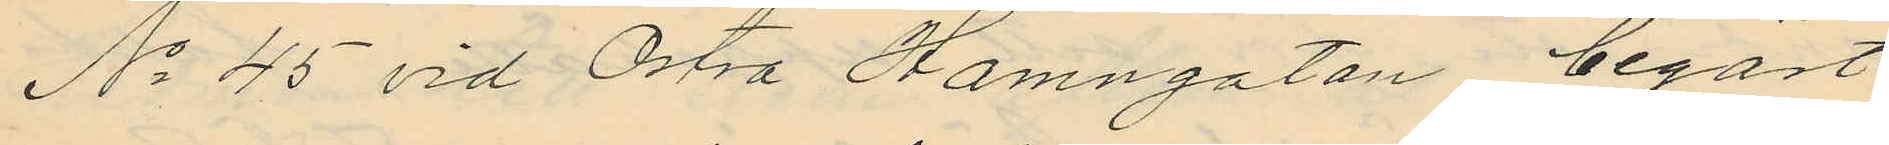No 45 vid Östra Hamngatan begärt
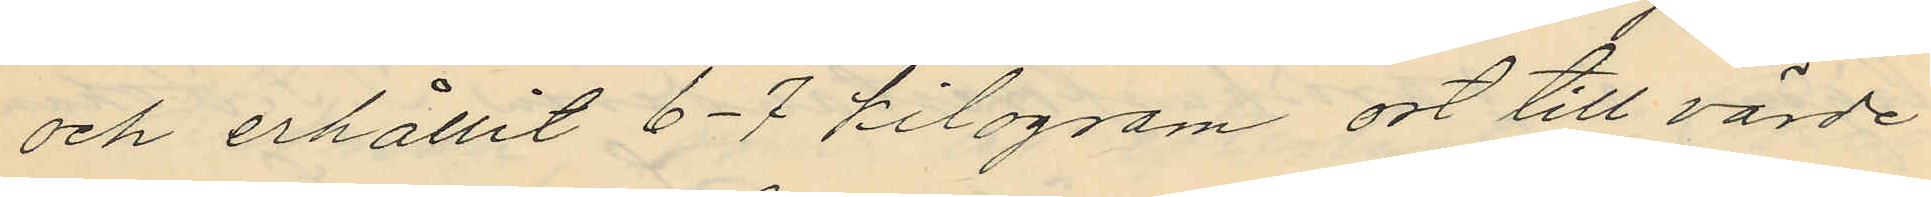och erhållit 6-7 kilogram ost till värde
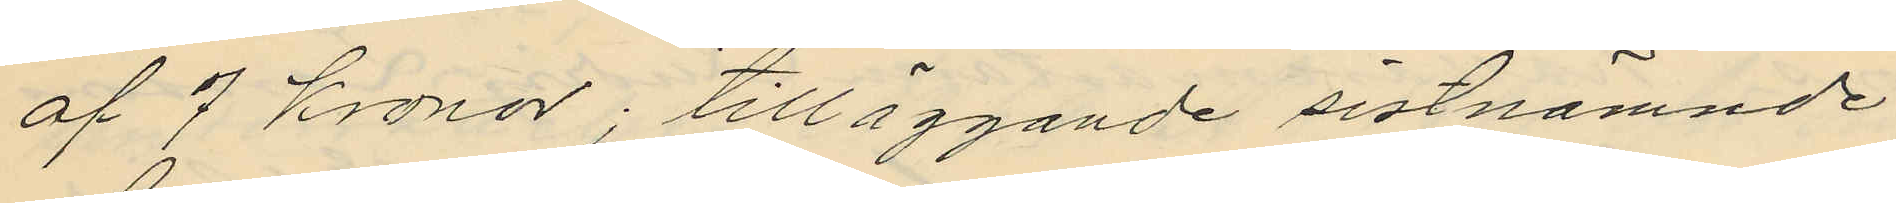af 7 Kronor; tilläggande sistnämnde
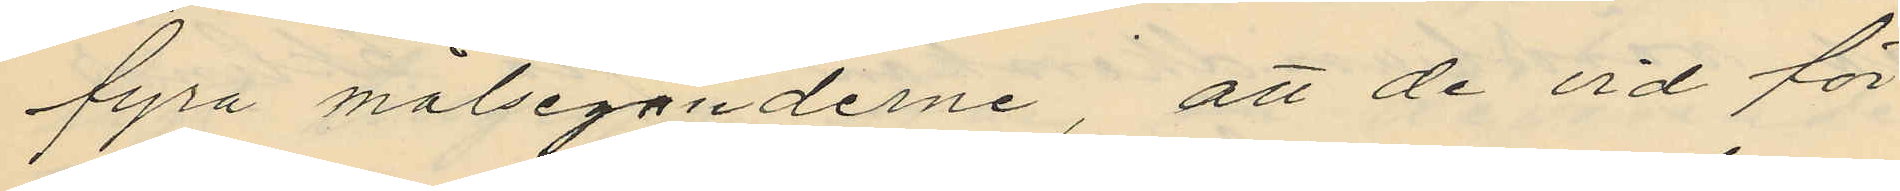fyra målseganderne, att de vid för
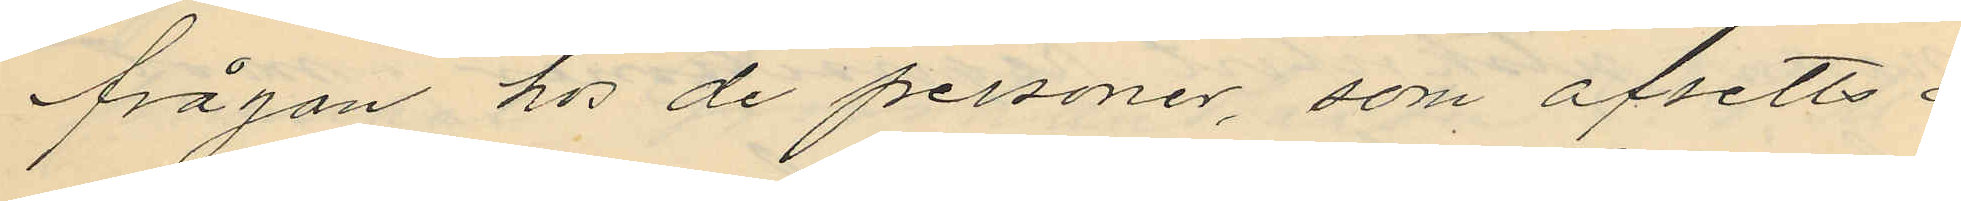frågan hos de personer, som afsetts i
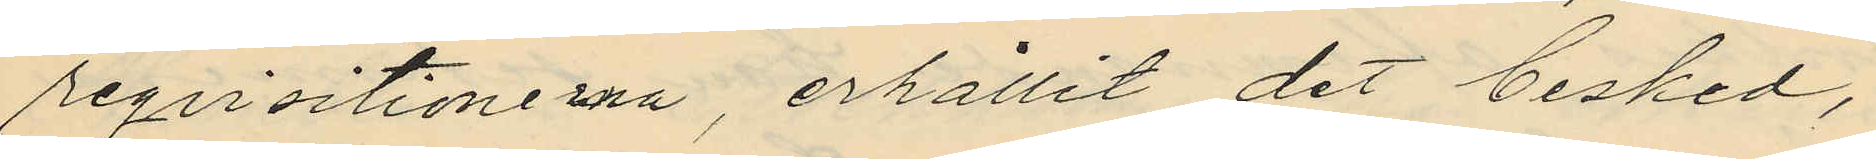reqvisitionerna, erhållit det besked,
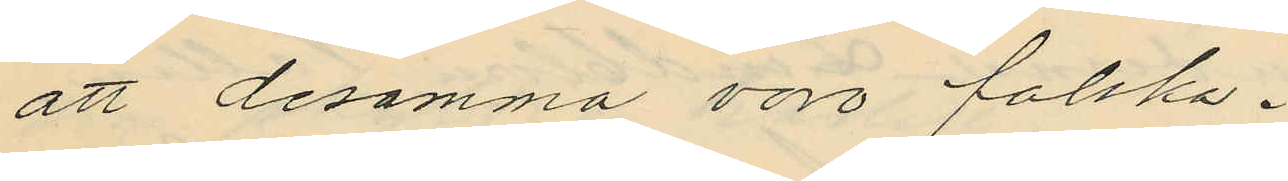att desamma voro falska.
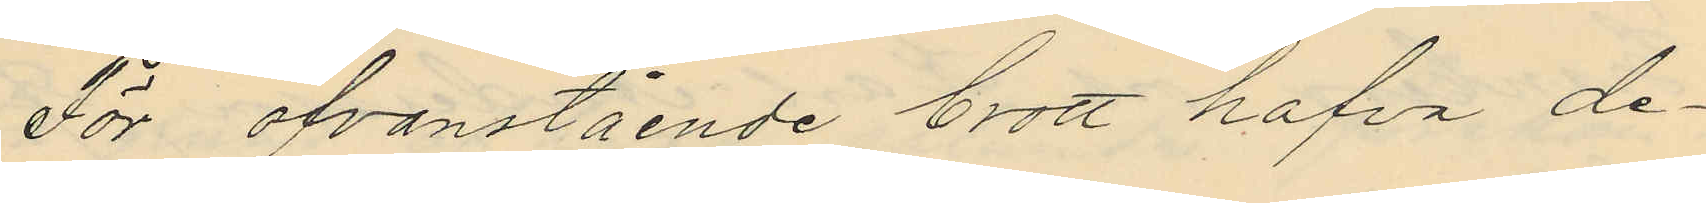För ofvanstående brott hafva de¬
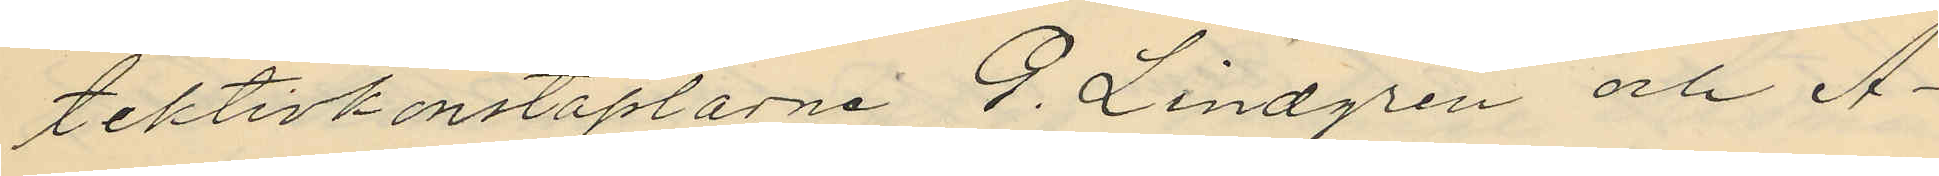tektivkonstaplarne G. Lindgren och A¬
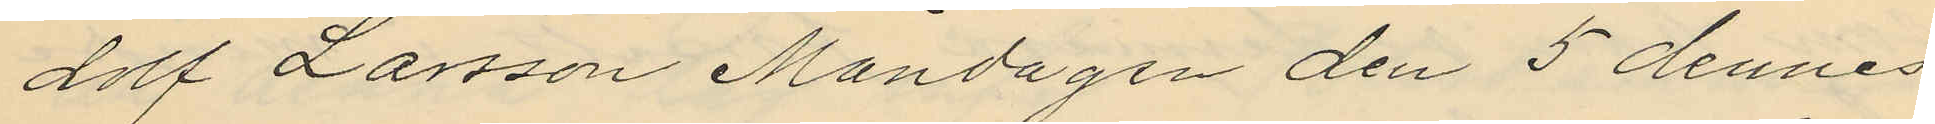dolf Larsson Måndagen den 5 dennes
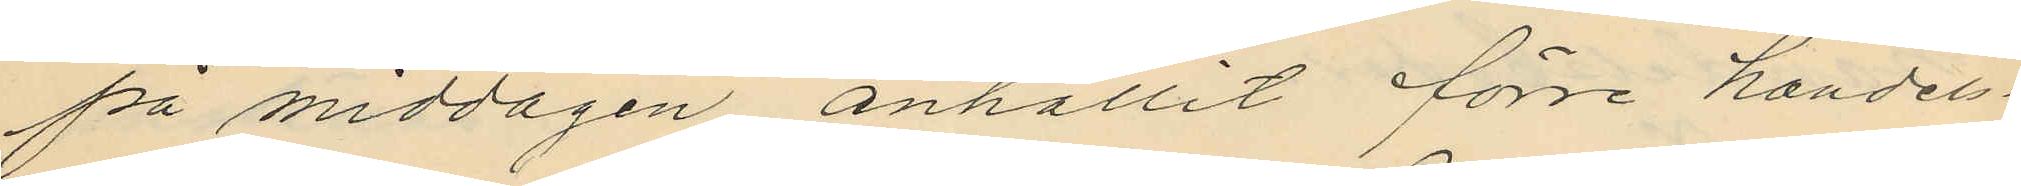på middagen anhållit förre handels¬
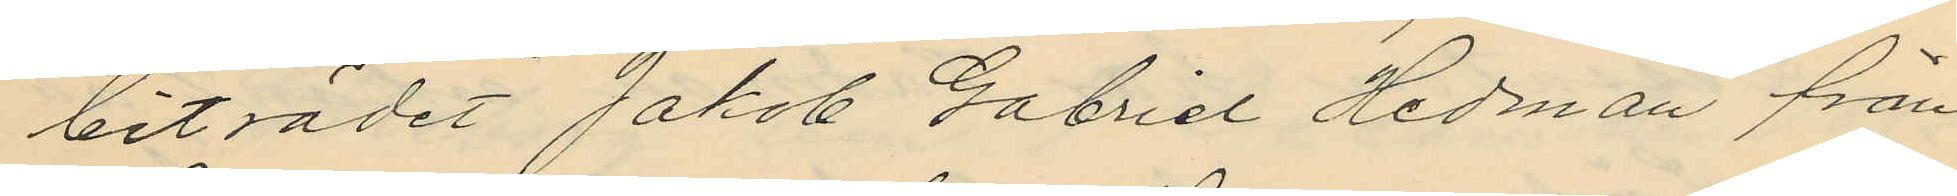biträdet Jakob Gabriel Hedman från
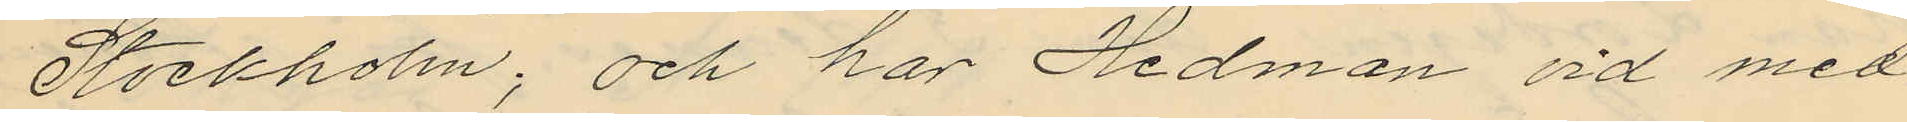Stockholm; och har Hedman vid med
